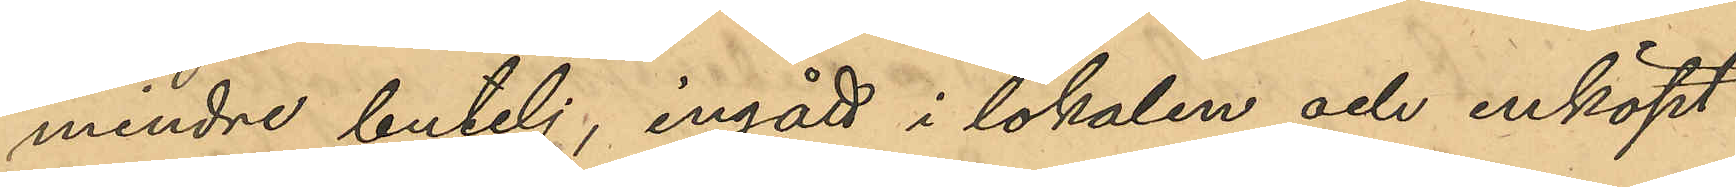mindre butelj, ingått i lokalen och inköpt
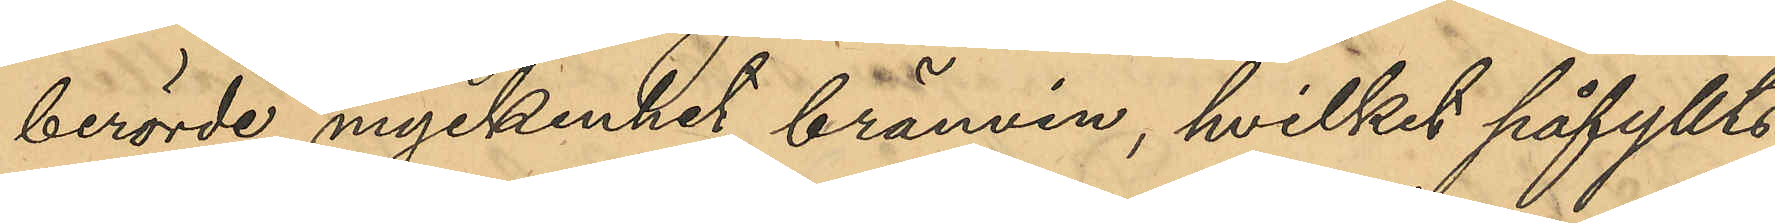berörde myckenhet brännvin, hvilket påfyllts 
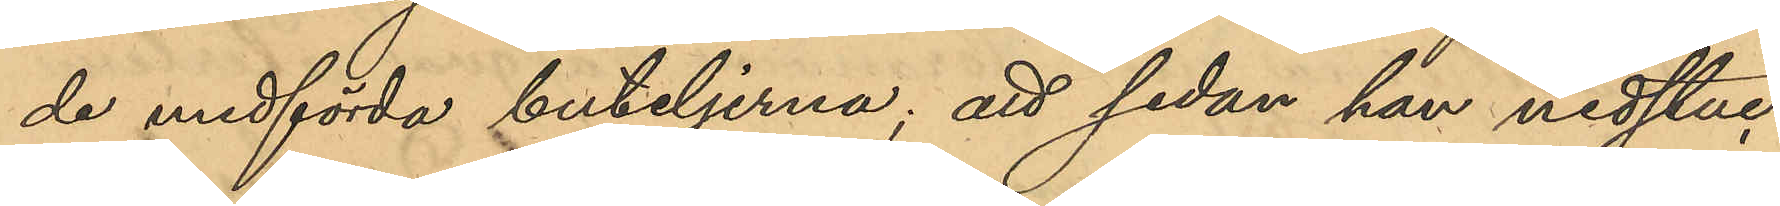de medförda buteljerna; att sedan han nedstuc¬
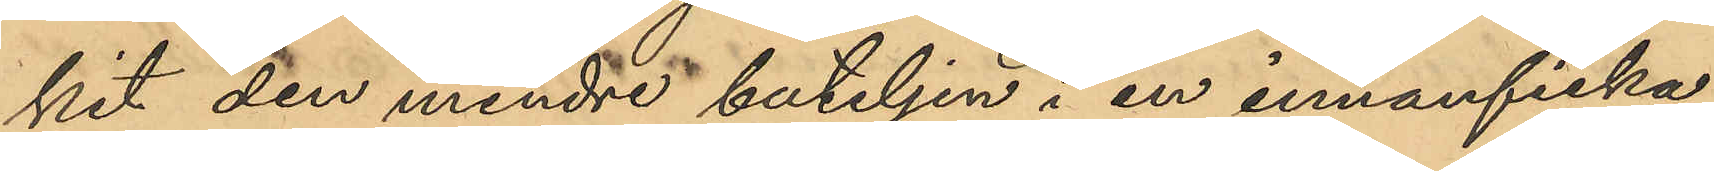kit den mindre buteljen i en inneficka
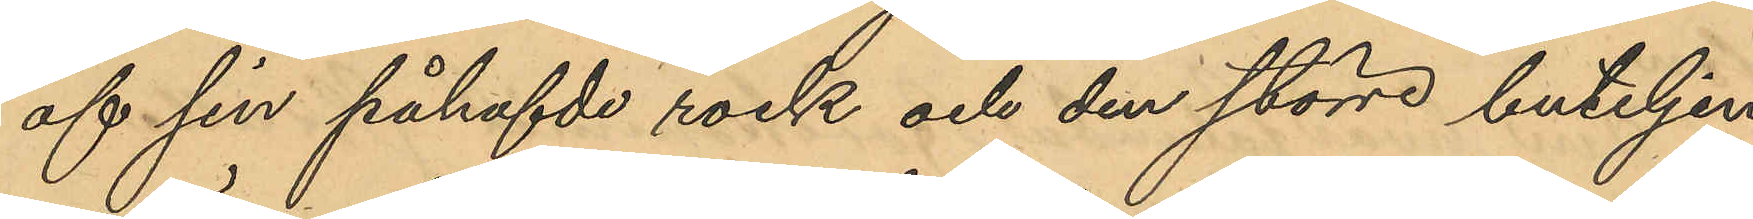af sin påhafvde rock och den större buteljen
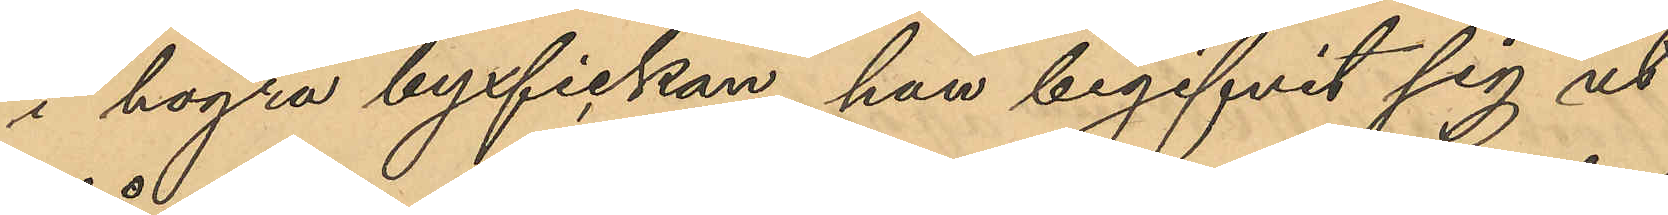i högra byxfickan, han begifvit sig ut
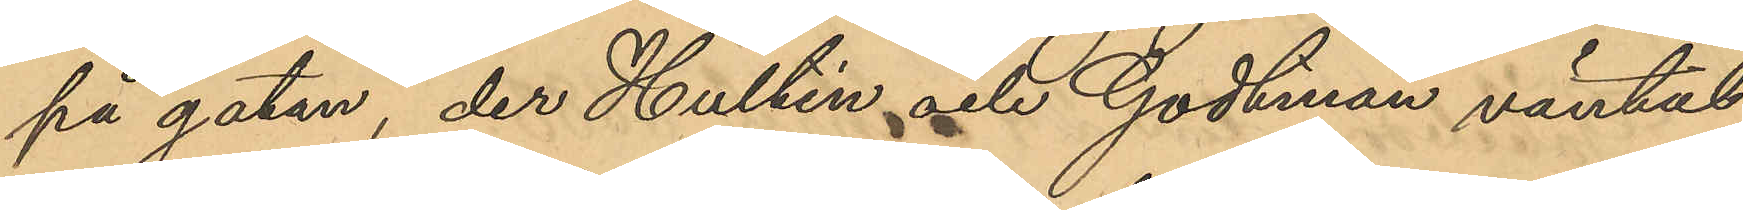på gatan, der Hultén och Godtman väntat;
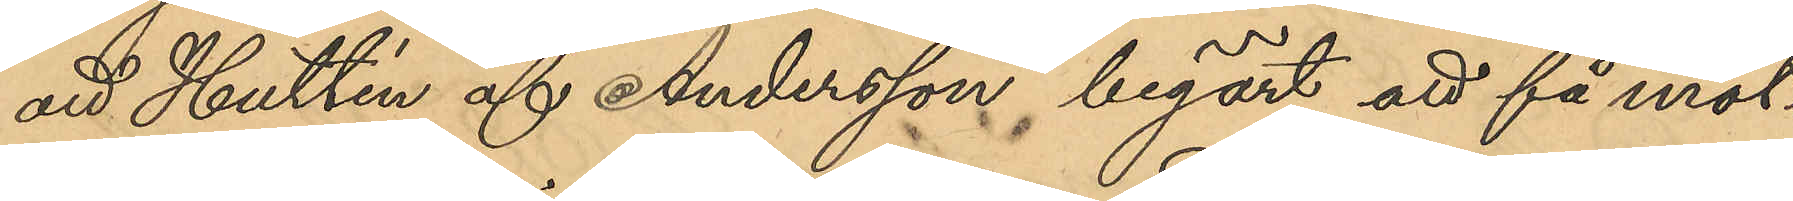att Hultén och Andersson begärt att få mot¬
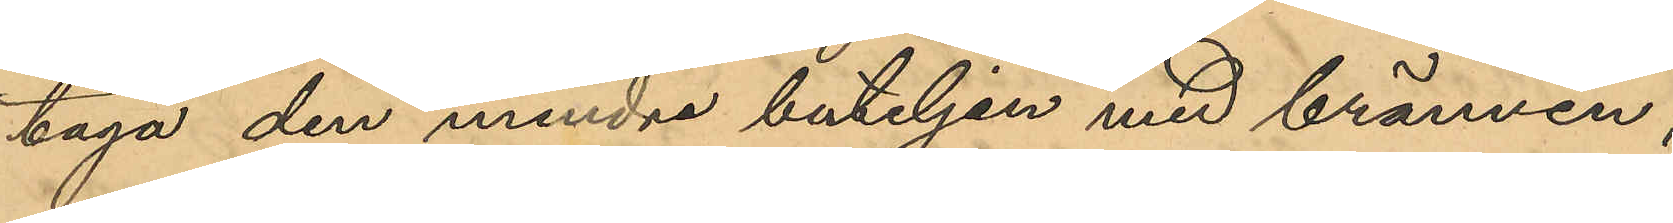taga den mindre buteljen med brännvin;
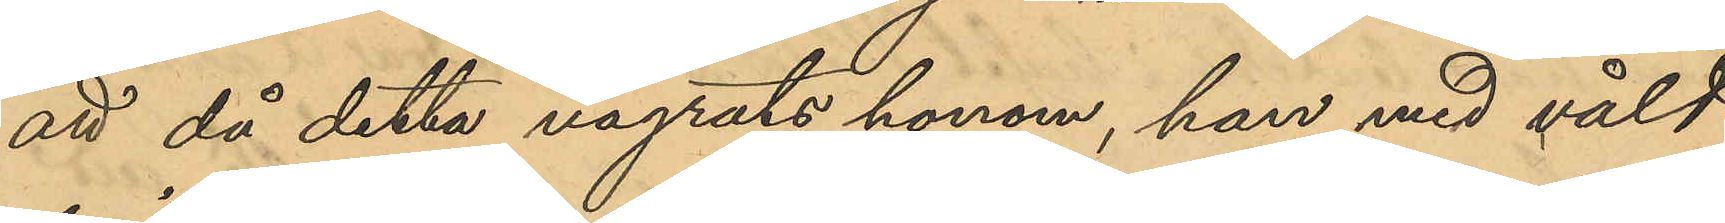att då detta vägrats honom, han med våld
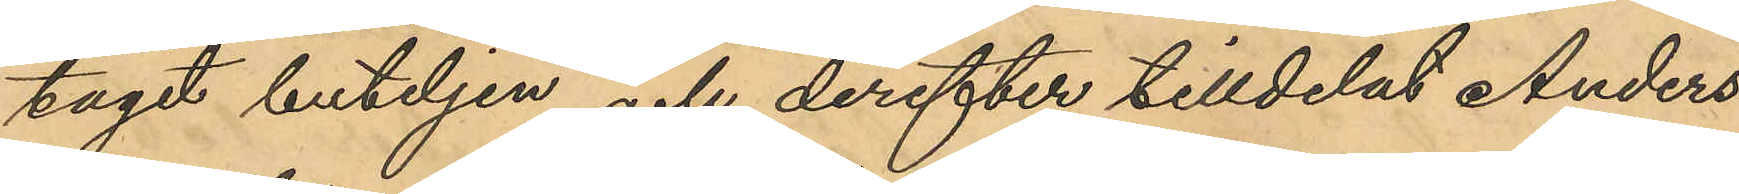tagit buteljen och derefter tilldelat Anders¬
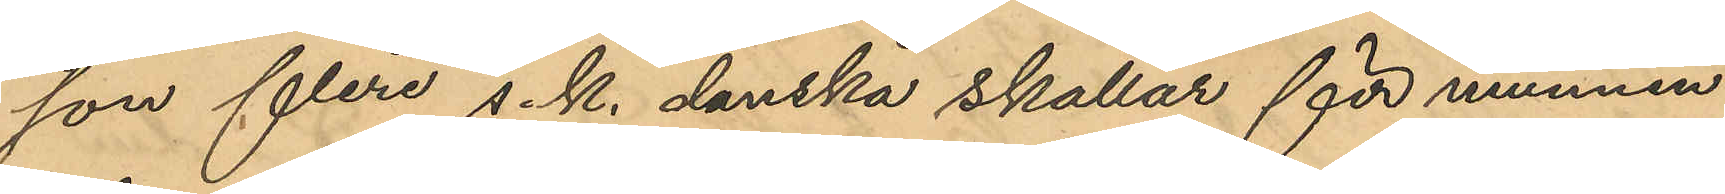son flera s. k. danska skallar för munnen
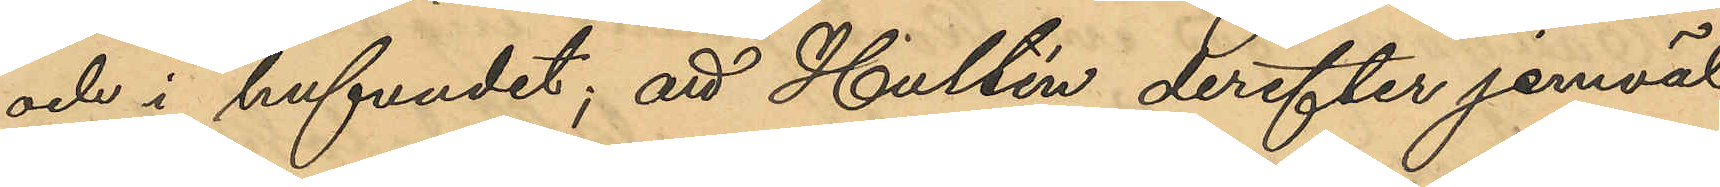och i hufvudet; att Hultén derefter jemväl
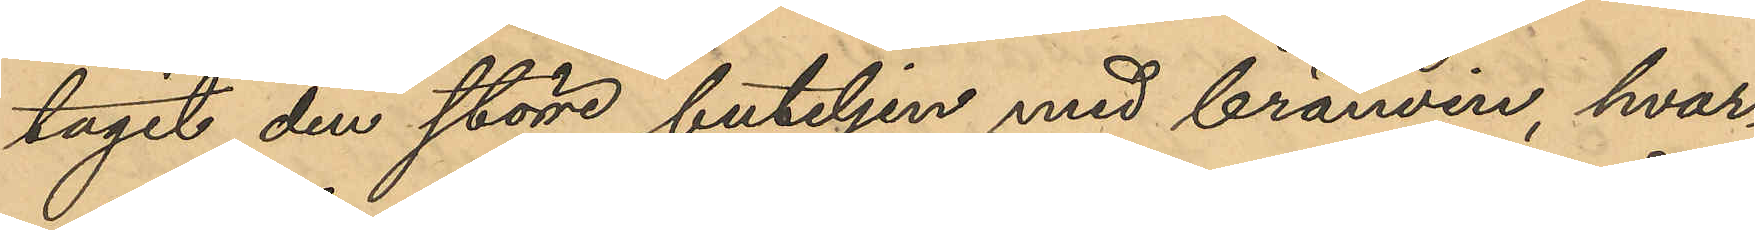tagit den större buteljen med brännvin, hvar¬
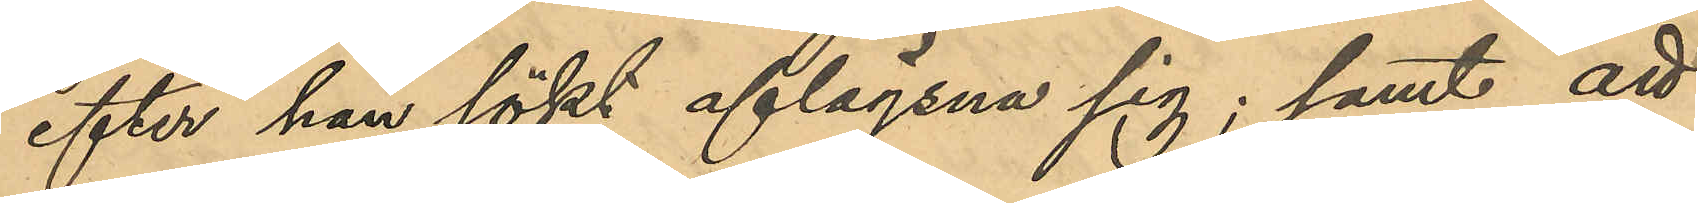efter han sökt aflägsna sig; samt att
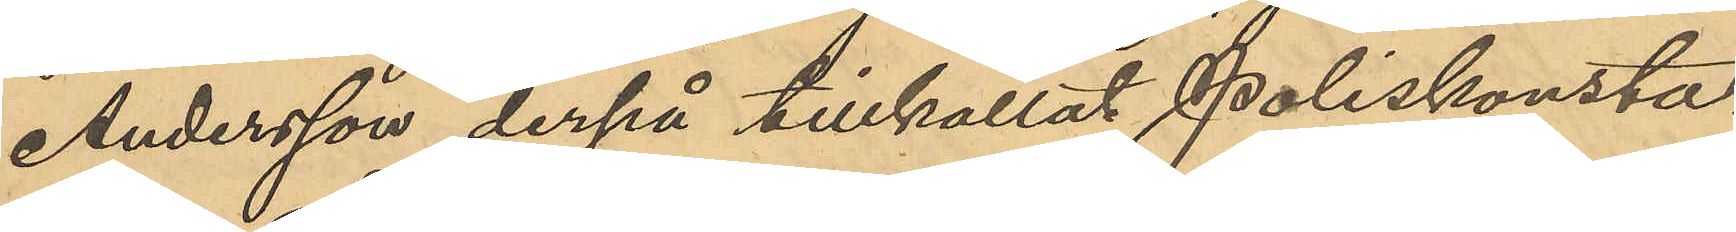Andersson derpå tillkalla Poliskonsta¬
